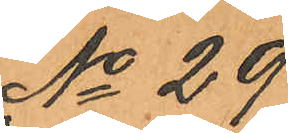No 29
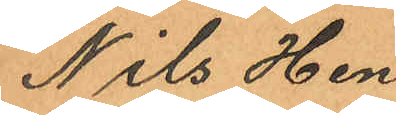Nils Hen¬
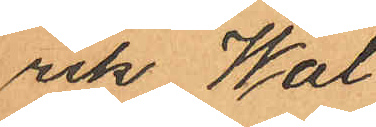rik Wal¬
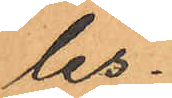les.
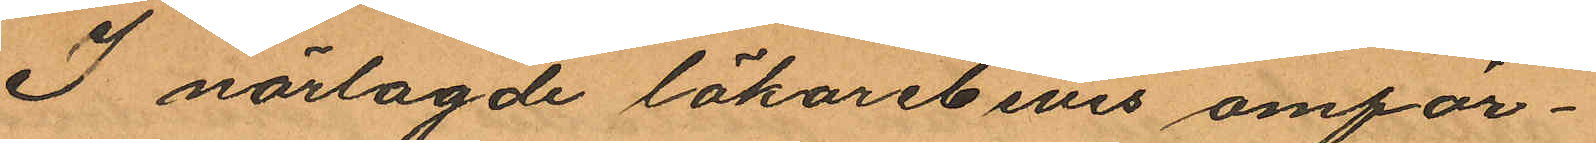I närlagde läkarebevis omför¬
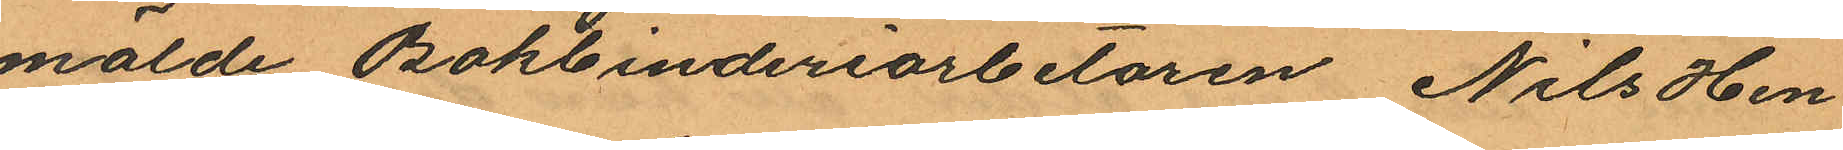mälde Bokbinderiarbetaren Nils Hen¬
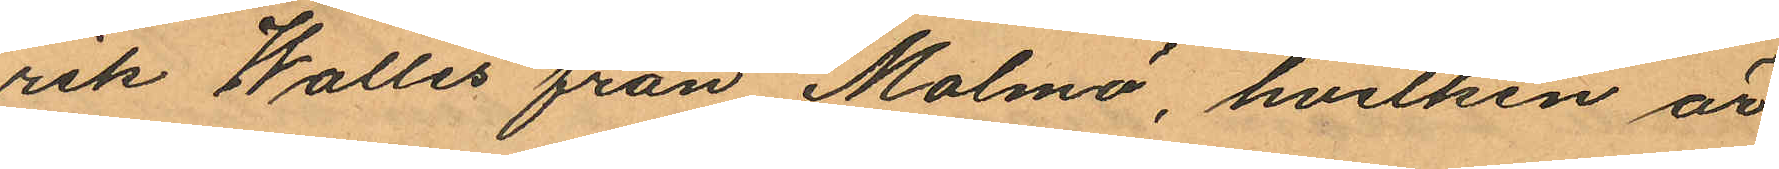rik Walles från Malmö, hvilken är
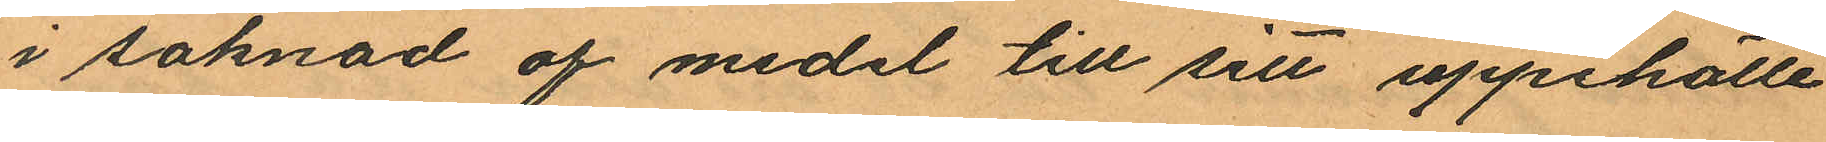i saknad af medel till sitt uppehälle
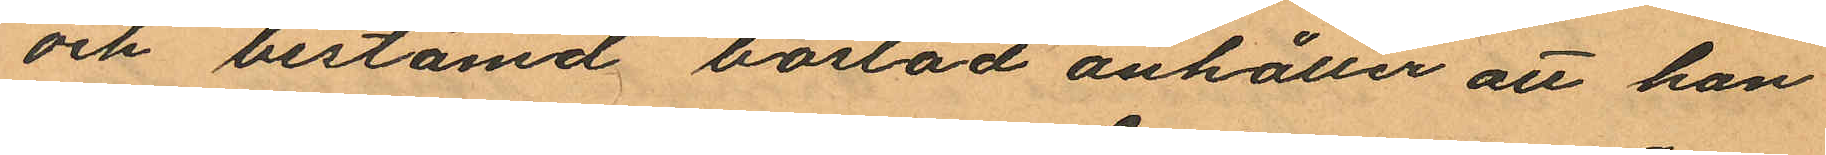och bestämd bostad anhåller att han
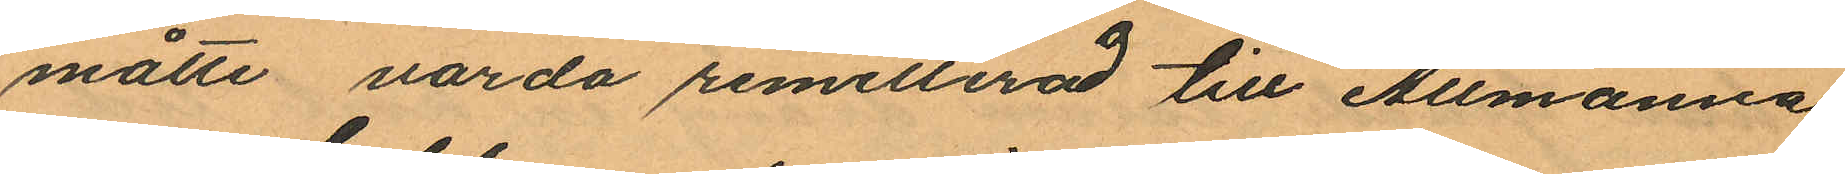måtte varda remitterad till Allmänna
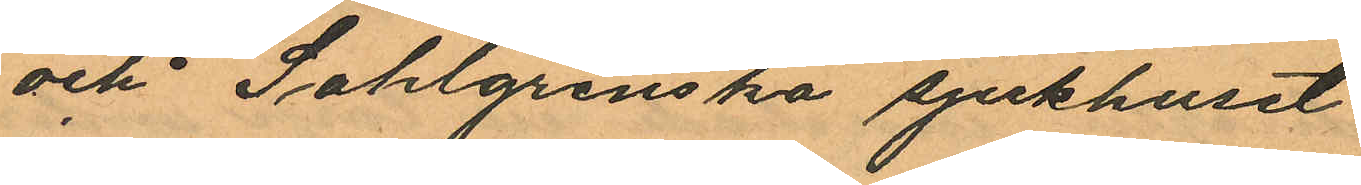och Sahlgrenska sjukhuset.
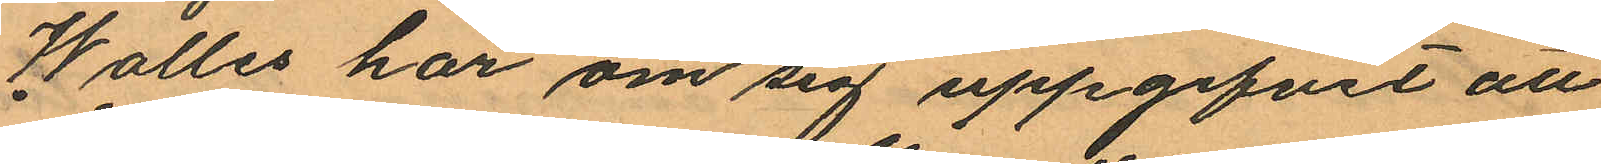Walles har om sig uppgifvit att
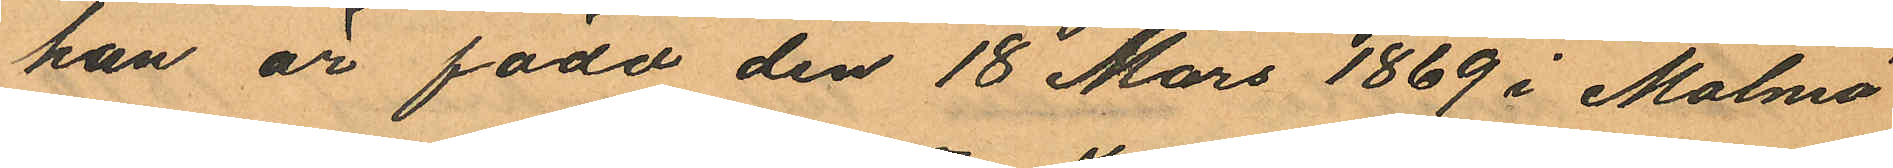han är född den 18 Mars 1869 i Malmö
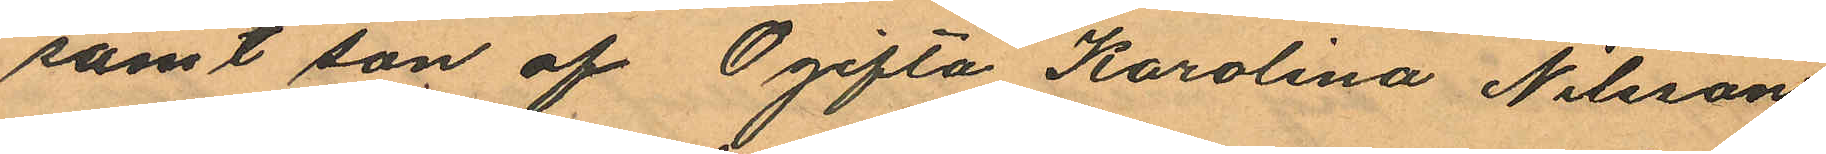samt son af Ogifta Karolina Nilsson
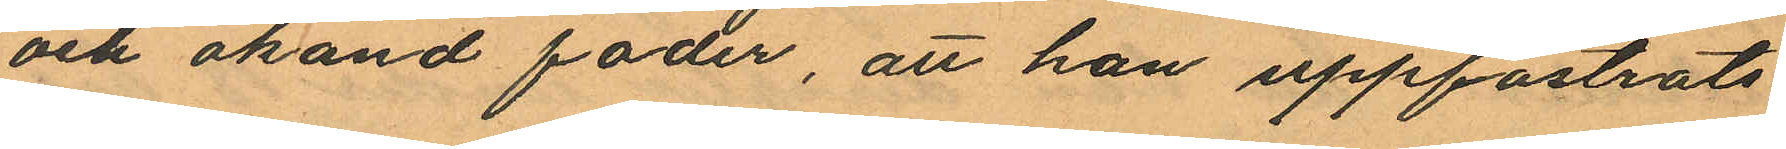och okänd fader, att han uppfostrats
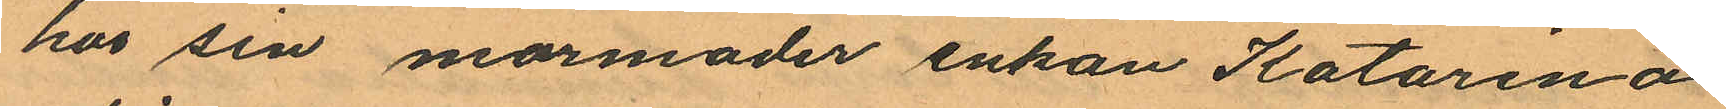hos sin mormoder enkan Katarina
